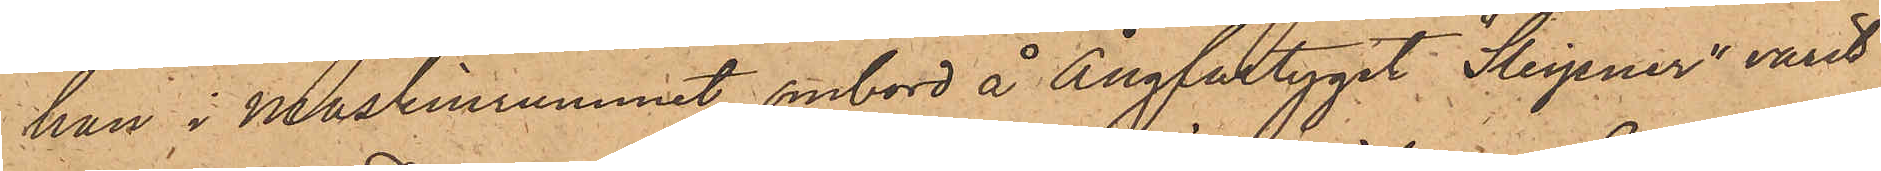han i Maskinrummet ombord å Ångfartyget "Sleipner" varit
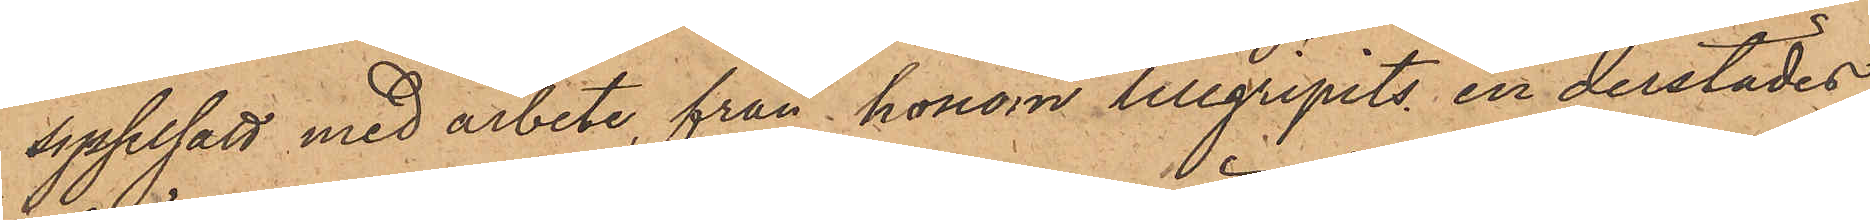sysselsatt med arbete, från honom tillgripits en derstädes
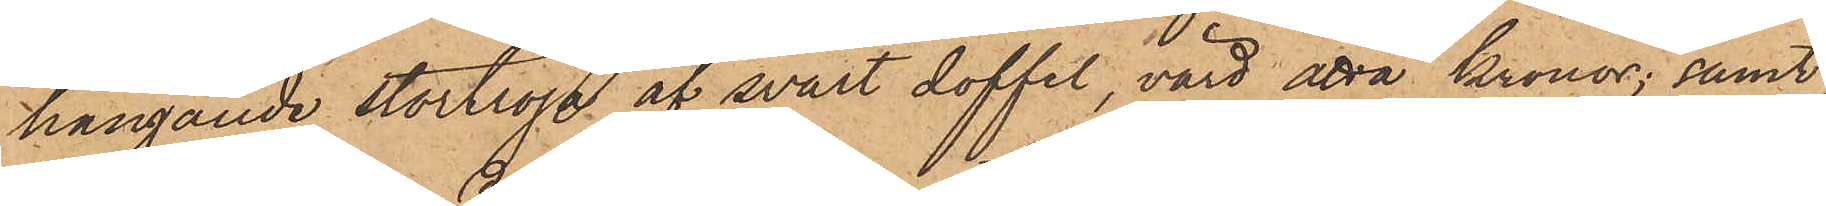hängande stortröja af svart doffel, värd åtta kronor; samt
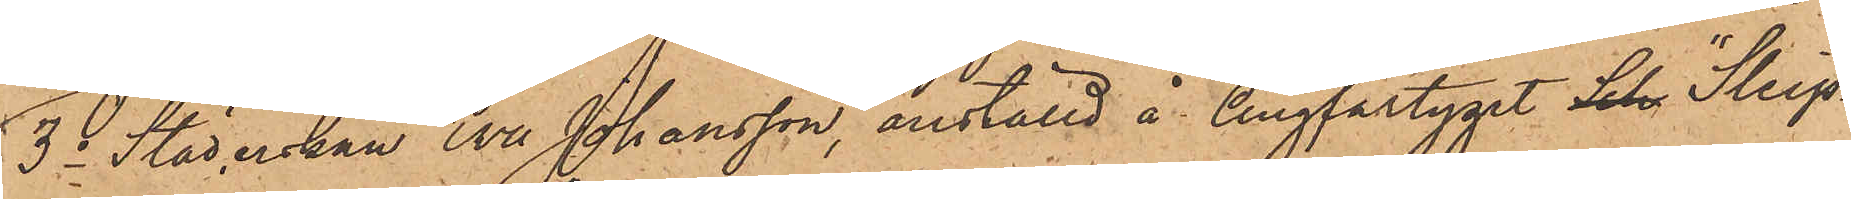3o Städerskan Eva Johansson, anställd å Ångfartyget Sch "Sleip¬
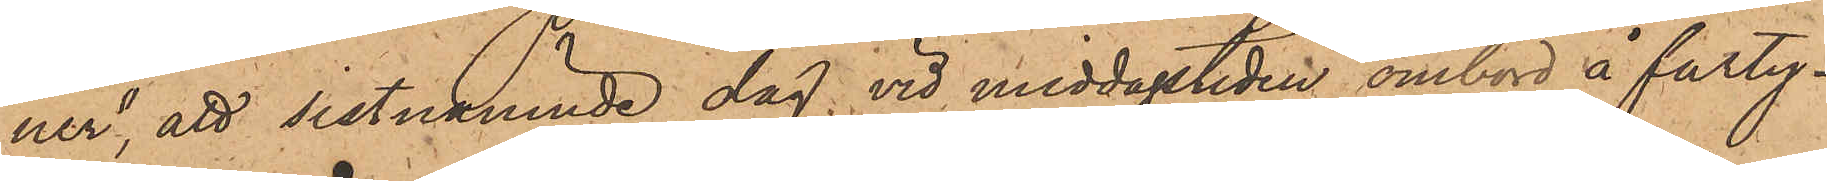ner", att sistnämnde dag, vid middagstiden ombord å farty¬
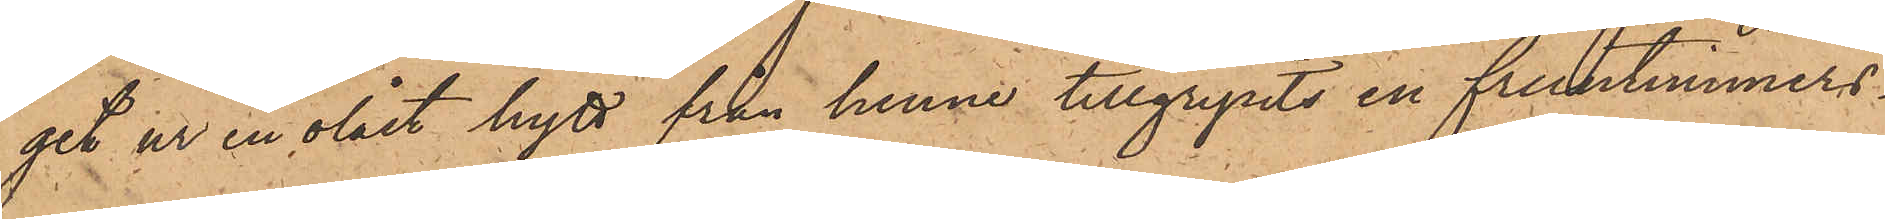get ur en olåst hytt från henne tillgripits en fruntimmers¬
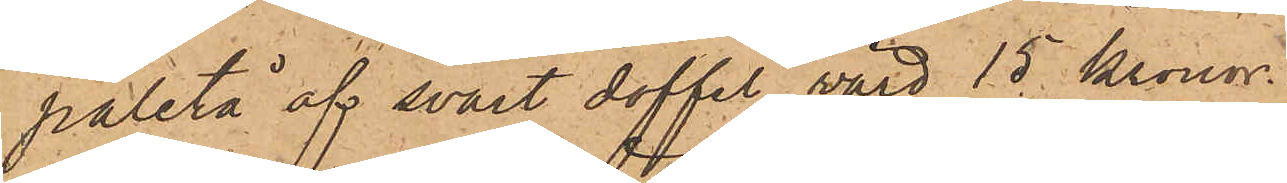paletå af svart doffel, värd 15 Kronor.
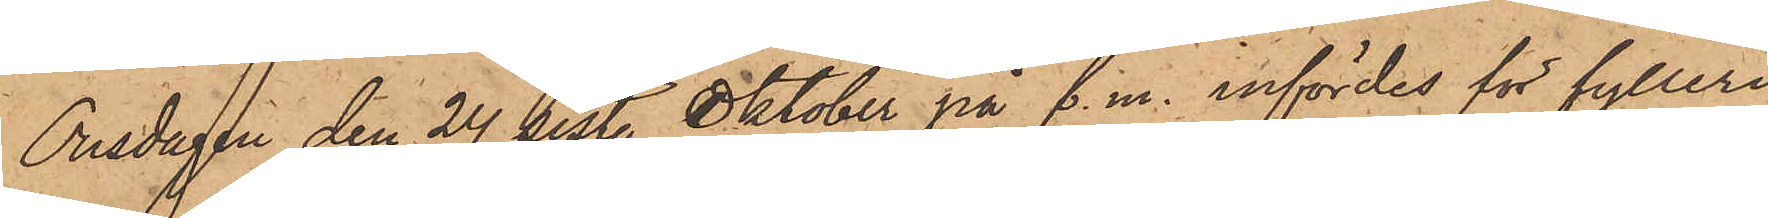Onsdagen den 24 sist. Oktober på f. m. infördes för fylleri
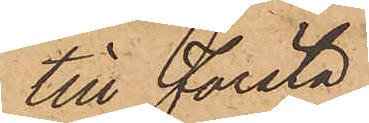till Första
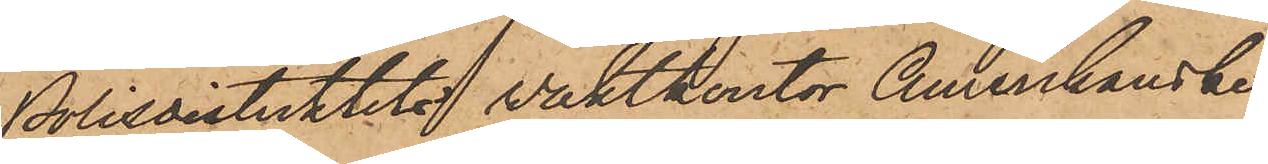Polisdistriktets vaktkontor Amerikanske
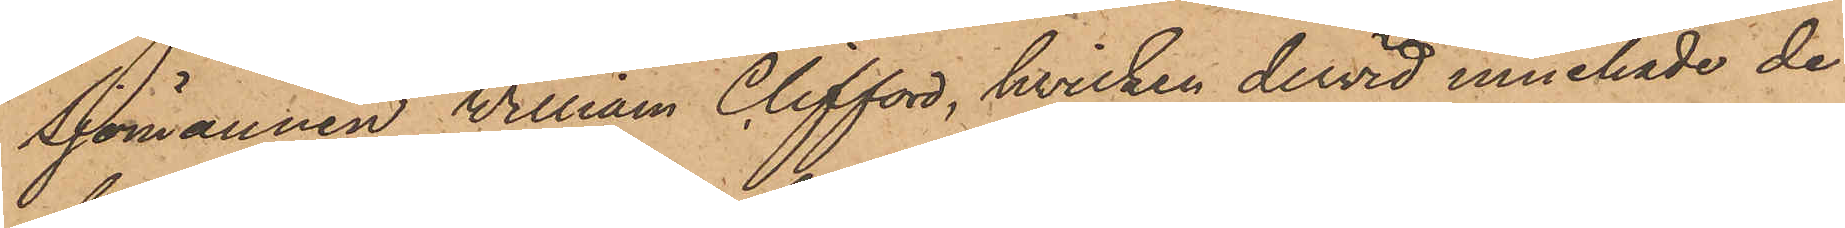Sjömannen William Clifford, hvilken dervid innehade de
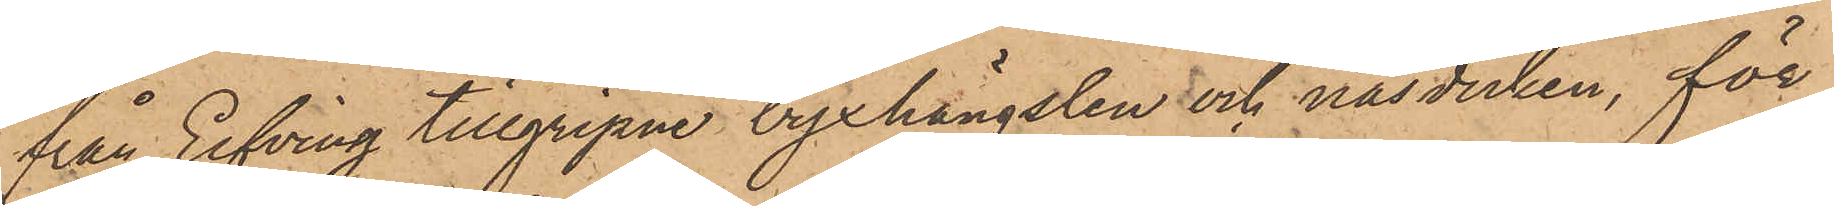från Elfving tillgripne byxhängslen och näsduken, för
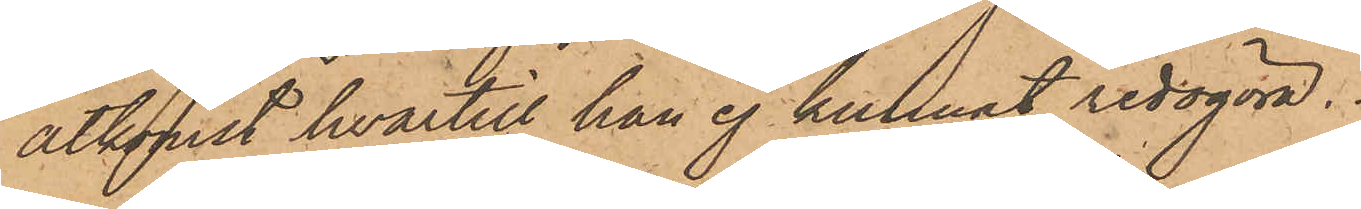åtkomst hvartill han ej kunnat redogöra.
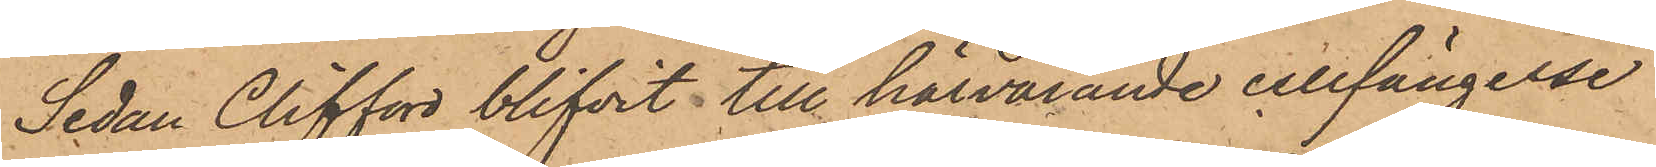Sedan Clifford blifvit till härvarande cellfängelse
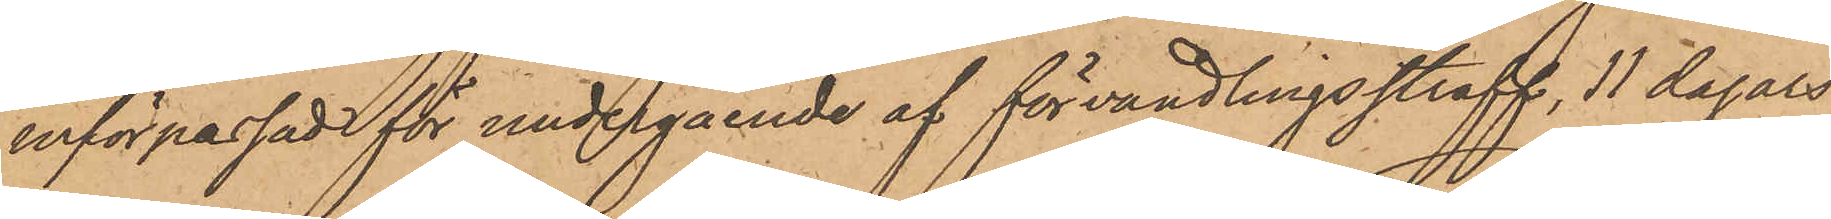införpassade för undergående af förvandlingsstraff, 11 dagars
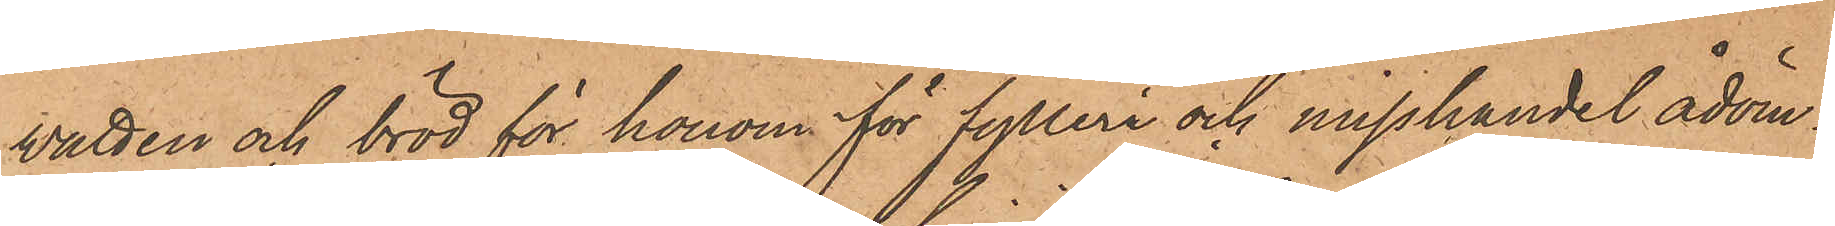vatten och bröd för honom för fylleri och misshandel ådöm¬
